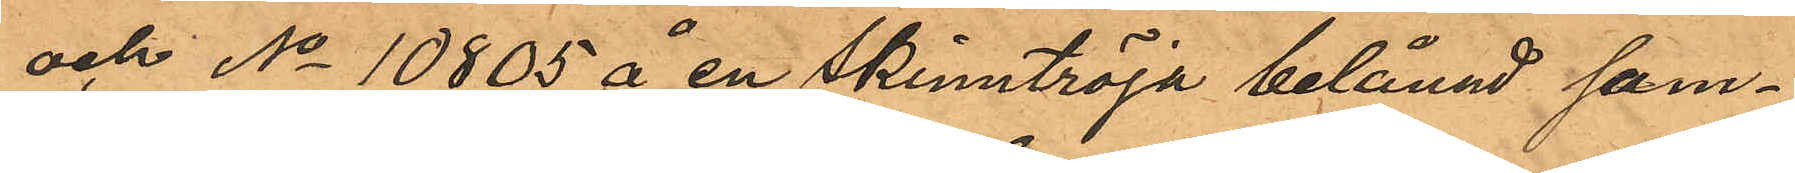och No 10805 å en skinntröja belånad sam¬
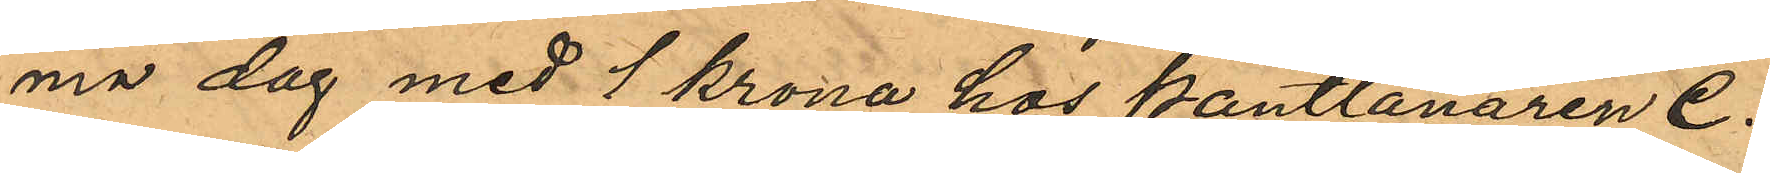ma dag med 1 krona hos Pantlånaren C.
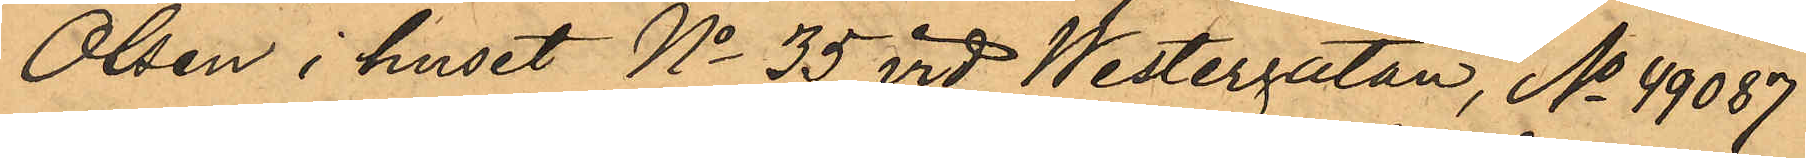Olsen i huset No 35 vid Westergatan, No 49087
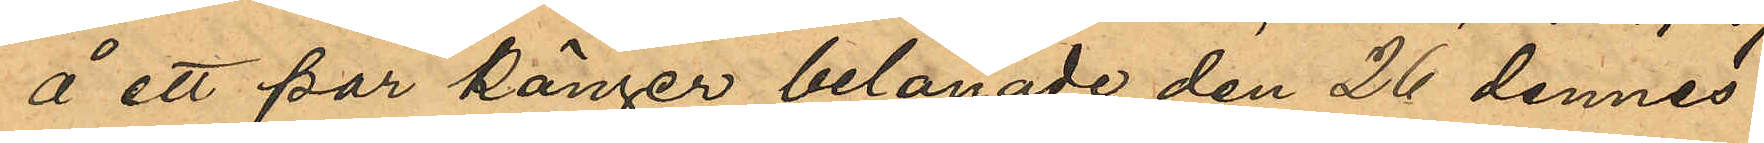å ett par känger belånade den 26 dennes
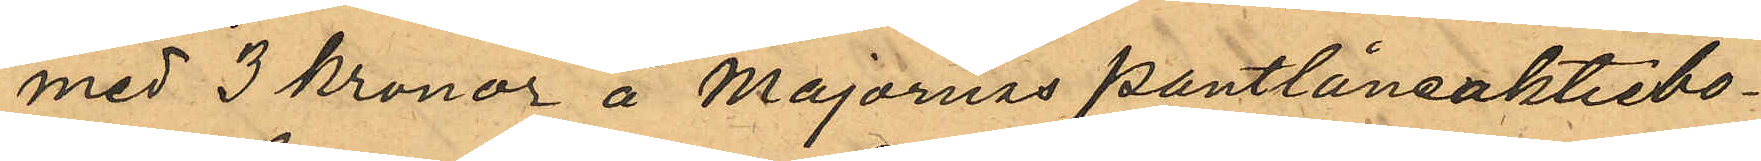med 3 kronor å Majornas pantlåneaktiebo¬
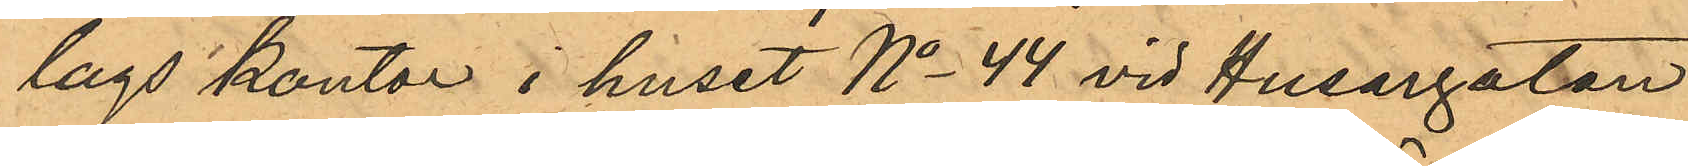lags kontor i huset No 44 vid Husargatan
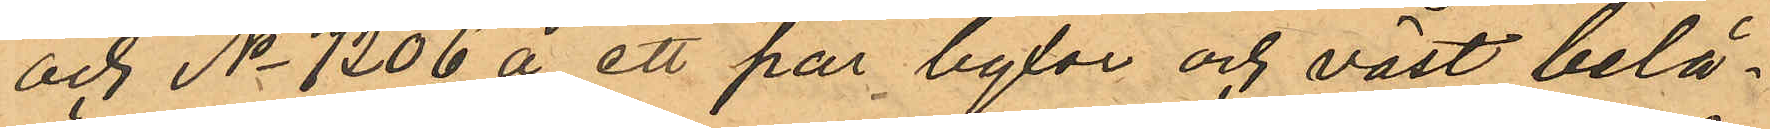och No 7206 å ett par byxor och väst belå¬
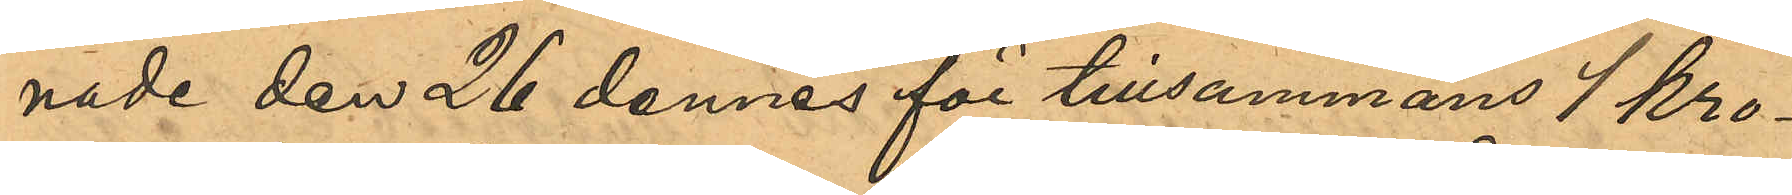nade den 26 dennes för tillsammans 1 kro¬
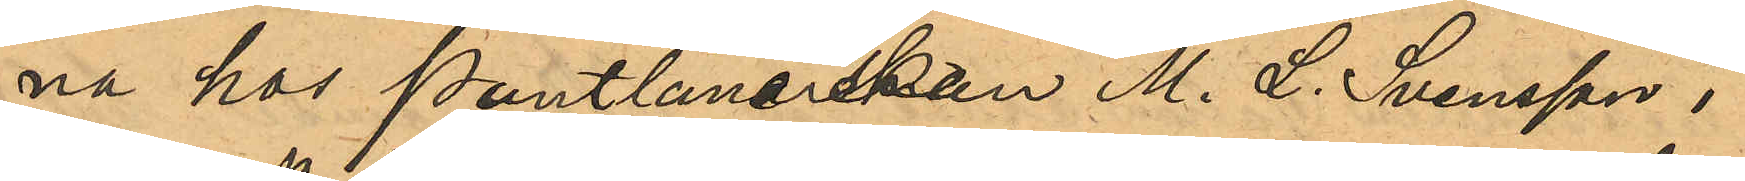na hos Pantlånerskan M. L. Svensson i
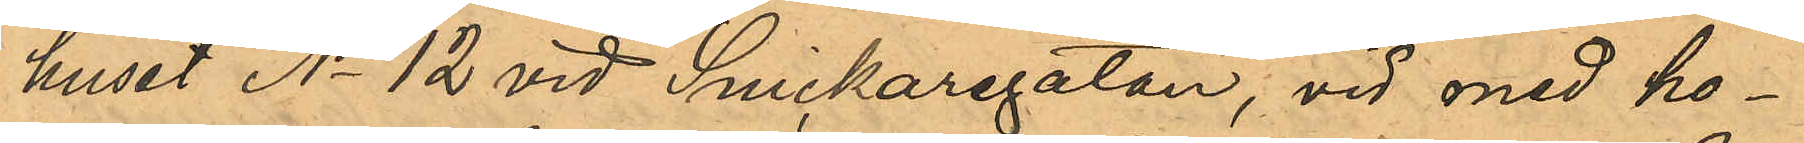huset No 12 vid Snickaregatan, vid med ho¬
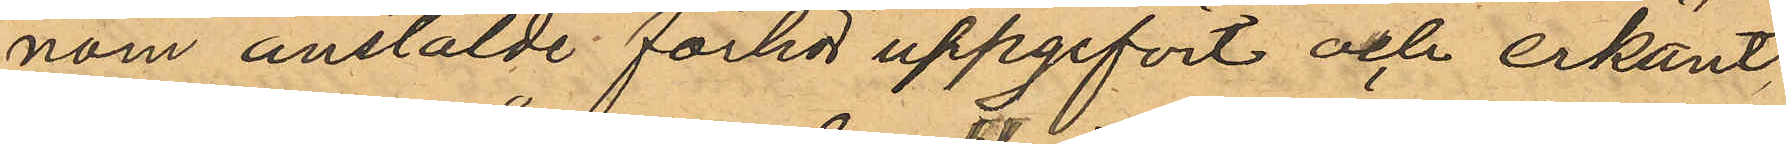nom anstälde förhör uppgifvit och erkänt,
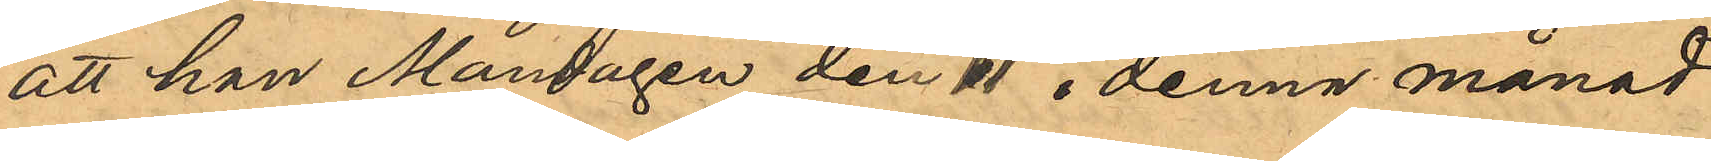att han Måndagen den 11 i denna månad
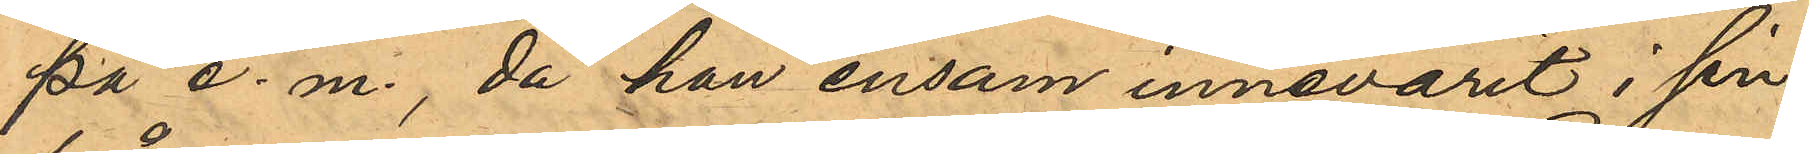på e. m., då han ensam innevarit i sin
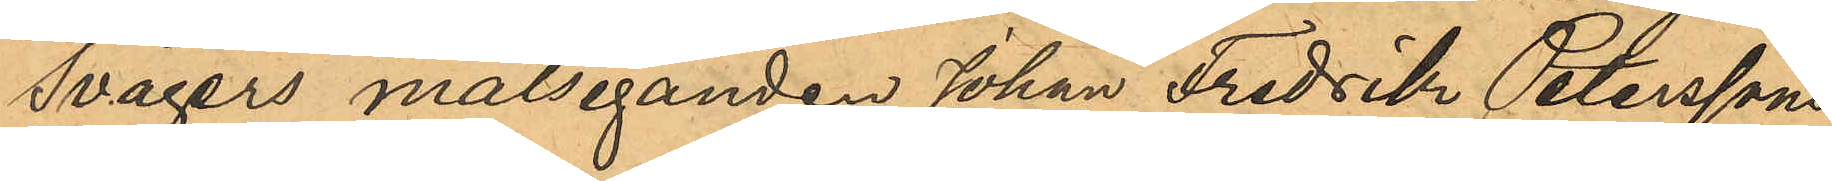Svågers målseganden Johan Fredrik Peterssons
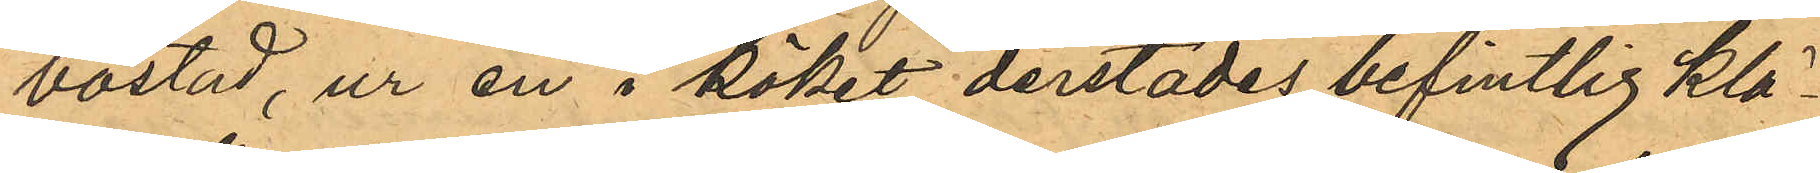bostad, ur en i köket derstädes befintlig klä¬
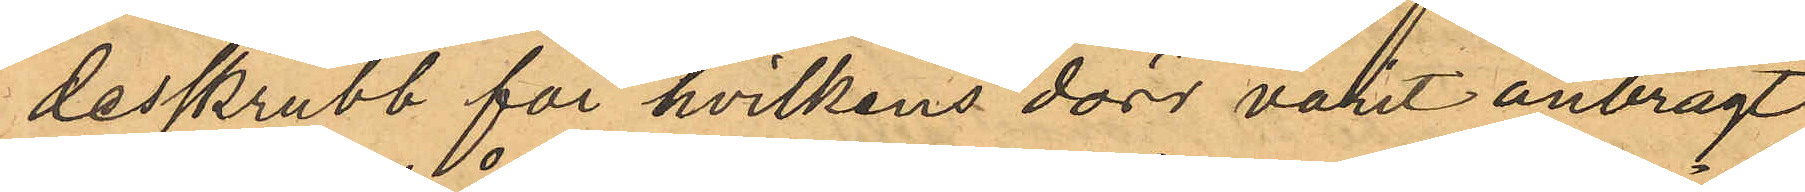desskrubb för hvilkens dörr varit anbragt
